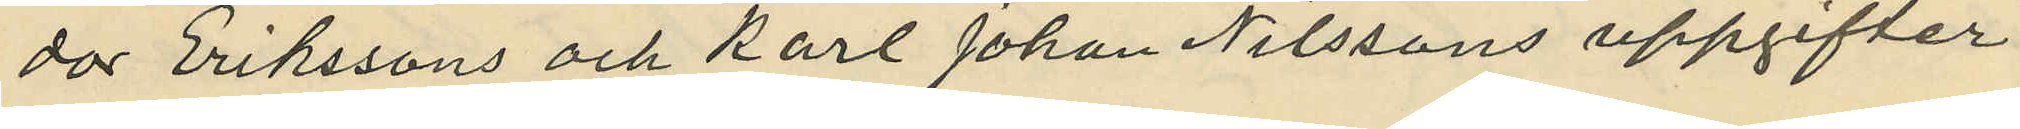dor Erikssons och Karl Johan Nilssons uppgifter
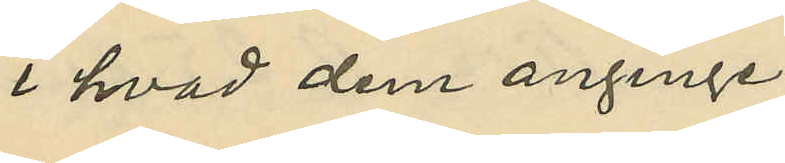i hvad dem anginge.
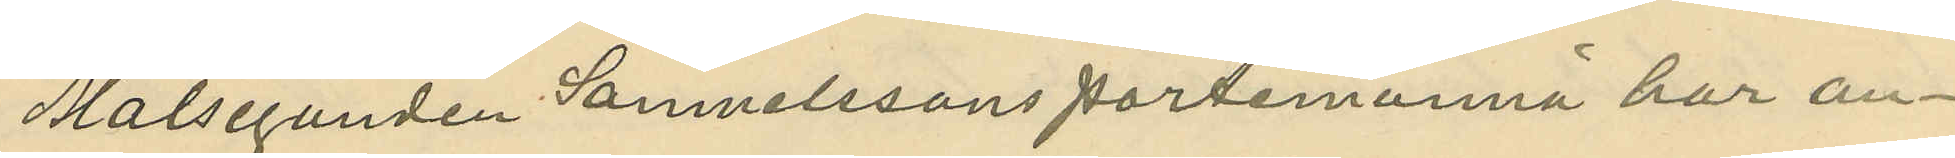Målseganden Samuelssons portemonnä har an¬
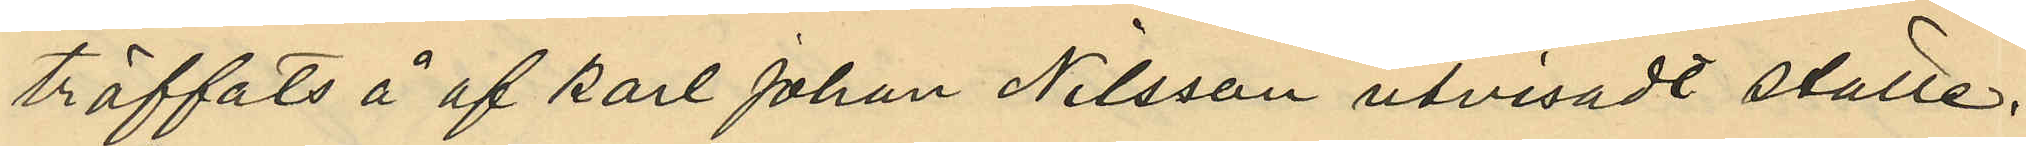träffats å af Karl Johan Nilsson utvisadt ställe;
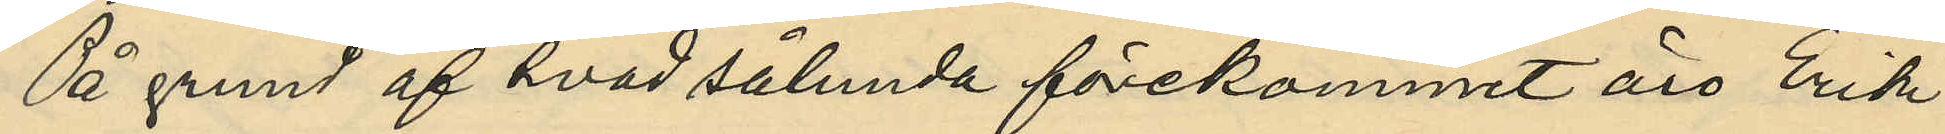På grund af hvad sålunda förekommit äro Erik
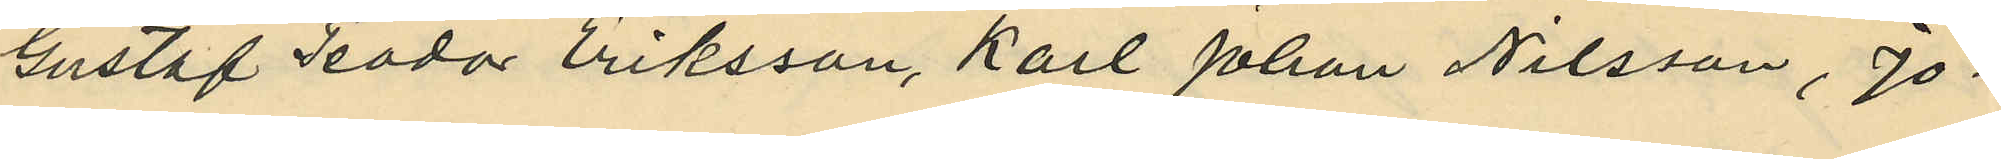Gustaf Teodor Eriksson, Karl Johan Nilsson, Jo¬
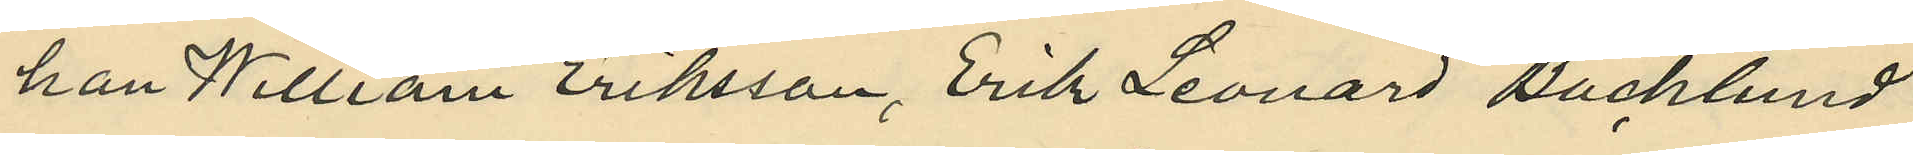han Willsam Eriksson, Erik Leonard Backlund
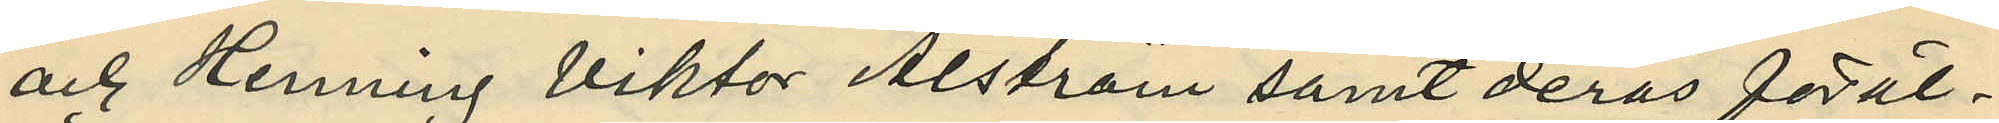och Henning Viktor Alström samt deras föräl¬
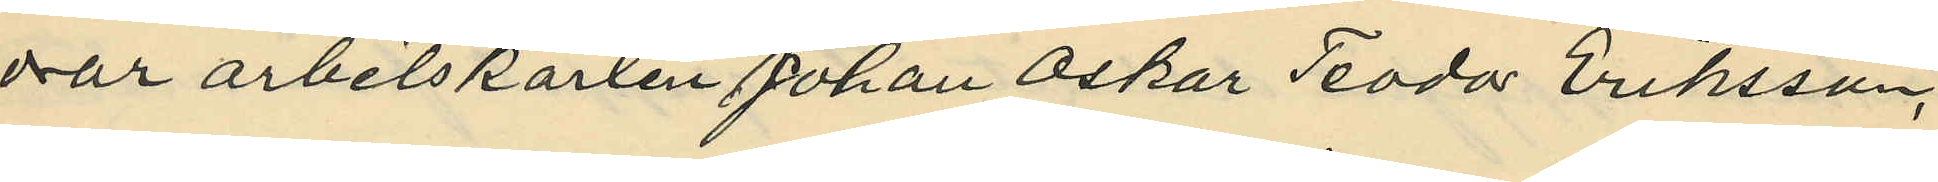dar arbetskarlen Johan Oskar Teodor Eriksson,
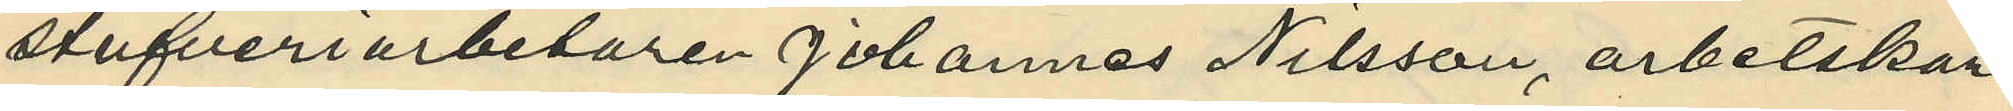stufveriarbetaren Johannes Nilsson, arbetskar¬
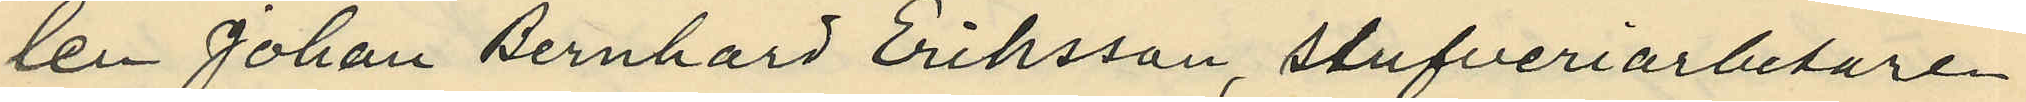len Johan Bernhard Eriksson, stufveriarbetare
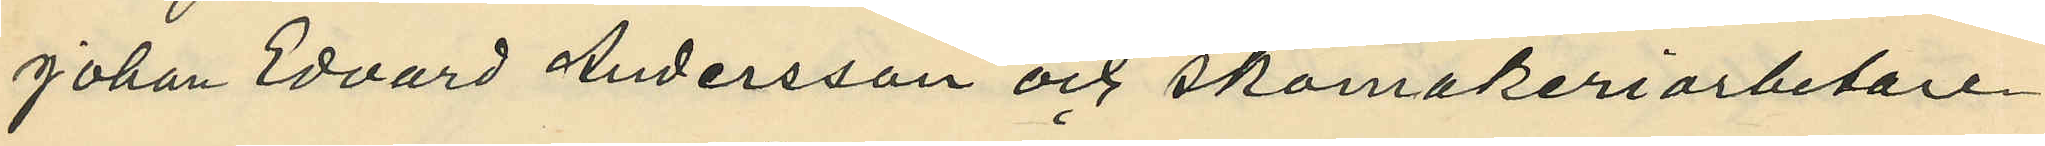Johan Edvard Andersson och Skomakeriarbetare
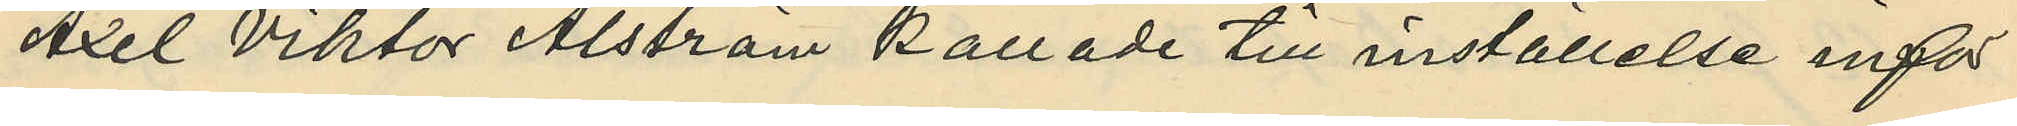Axel Viktor Ahlström kallade till inställelse inför
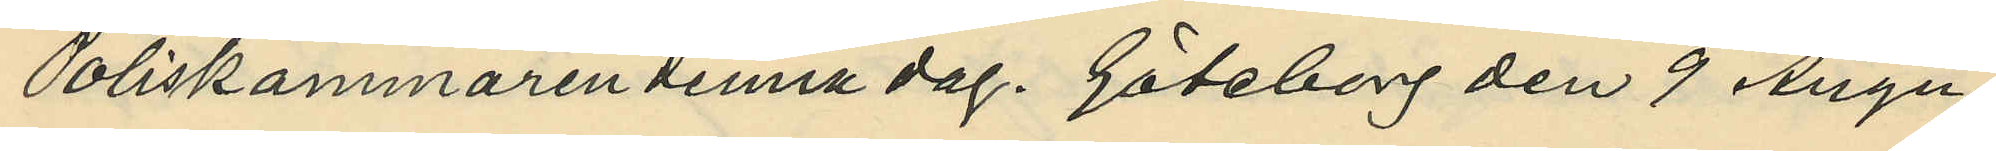Poliskammaren denna dag. Göteborg den 9 Augu¬
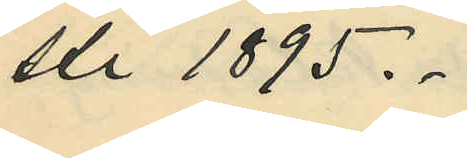sti 1895.
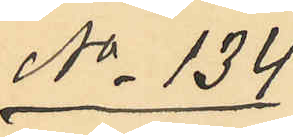No 134
